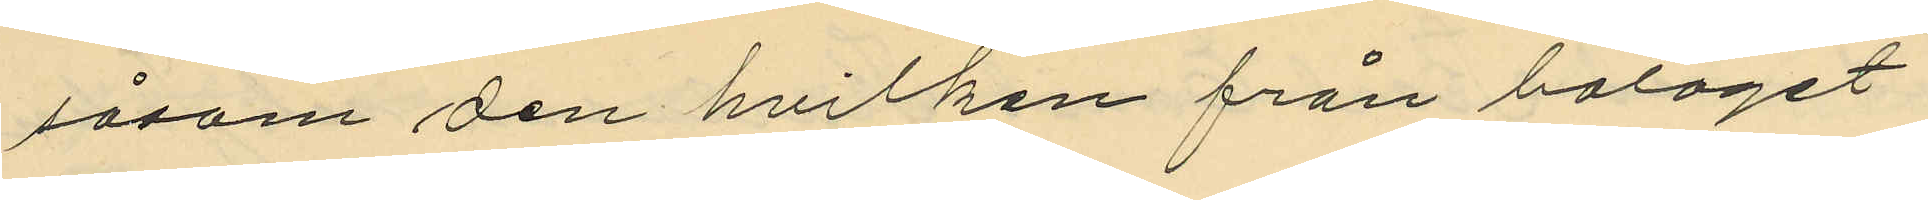såsom den hvilken från bolaget
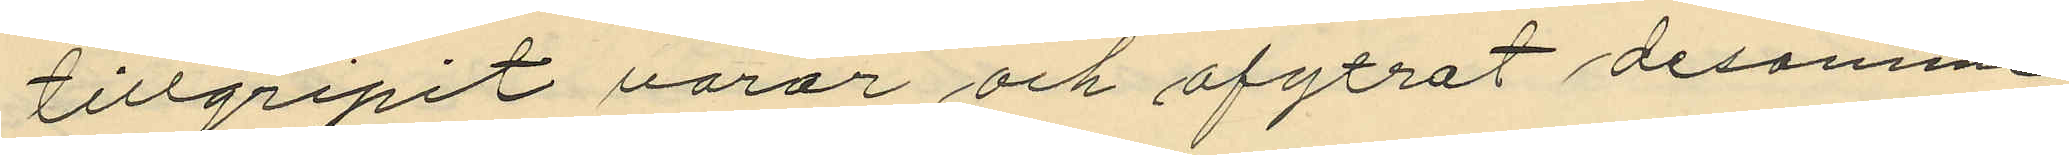tillgripit varor och afytrat desamme
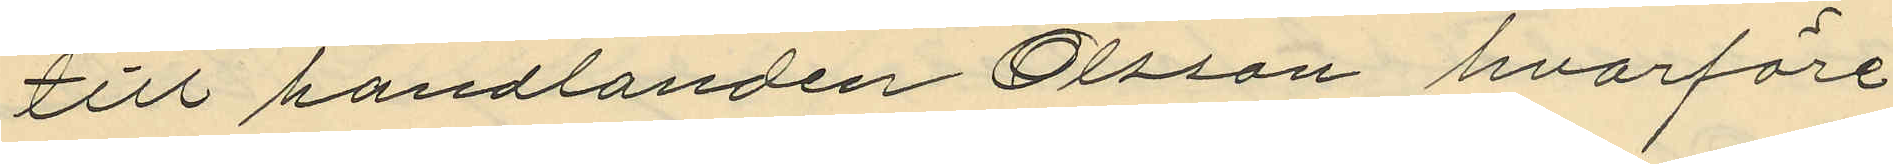till handlanden Olsson hvarföre
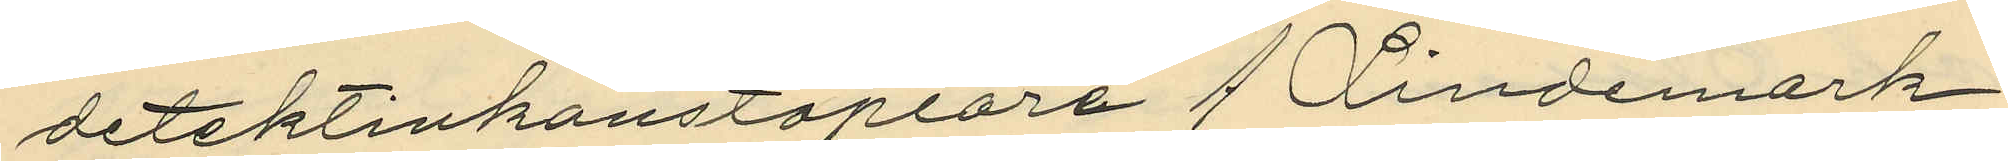detektivkonstaplarna J. Lindemark
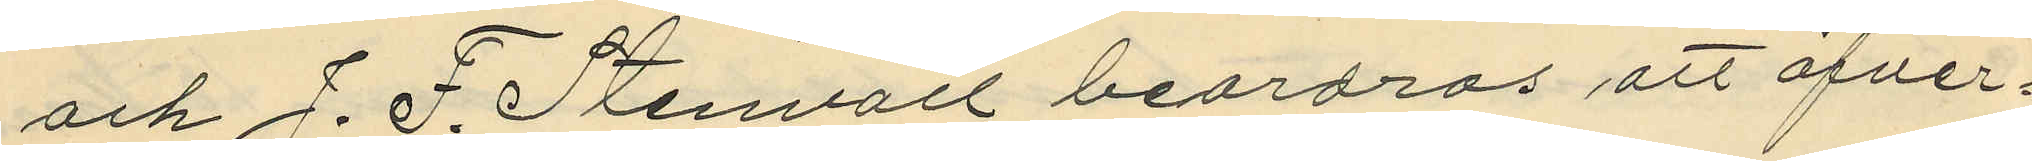och J. F. Stenvall beordras att öfver¬
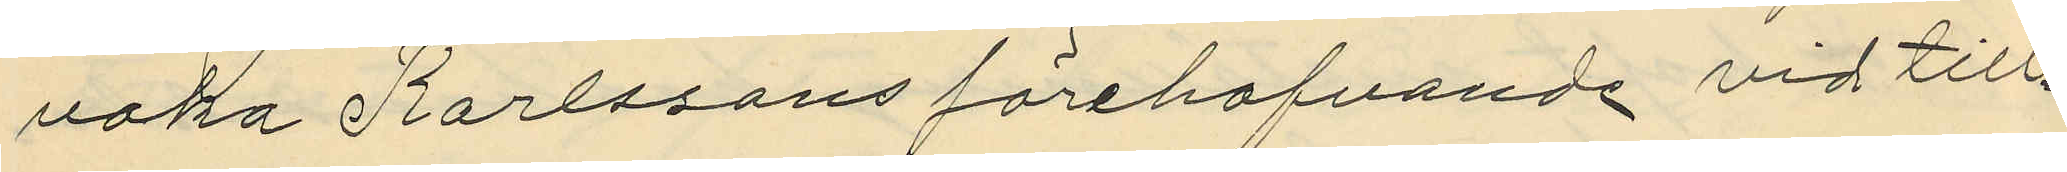vaka Karlssons förehafvande vid till¬
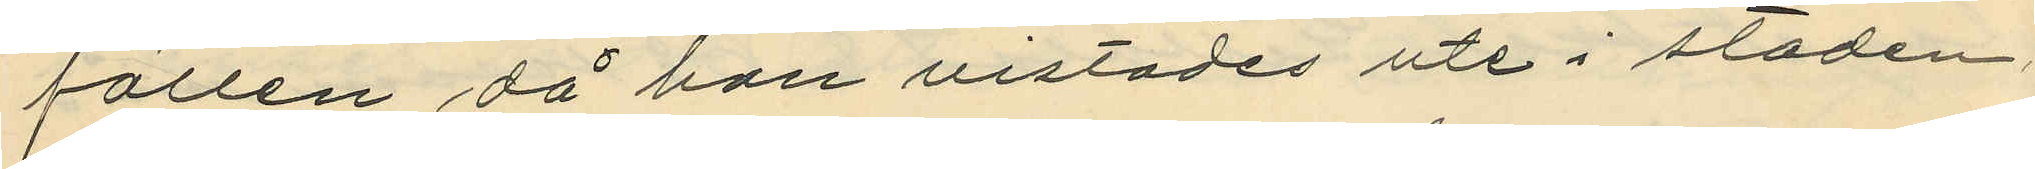fällen då han vistades ute i staden,
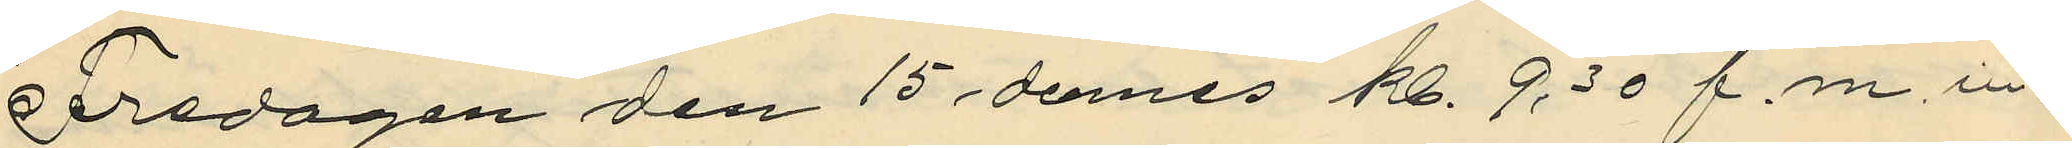Fredagen den 15 dennes kl. 9.30 f.m. in¬
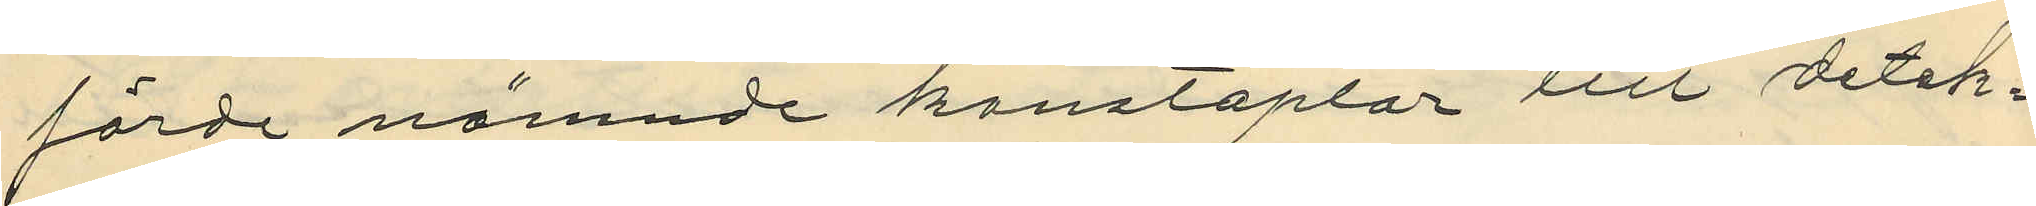förda nämnde konstaplar till detek¬
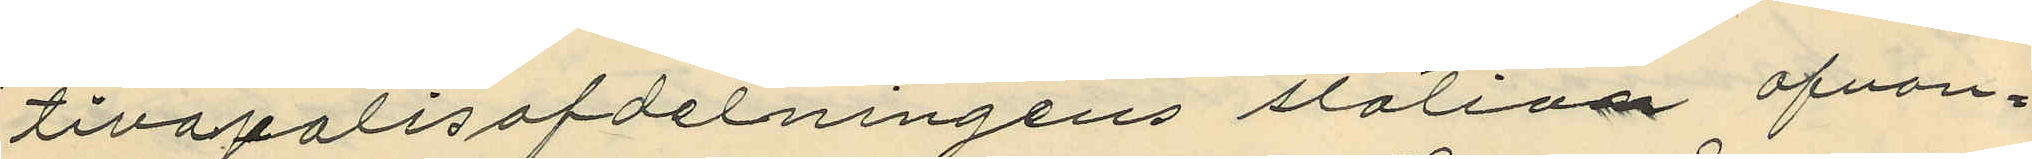tivapolisafdelningens station ofvan¬
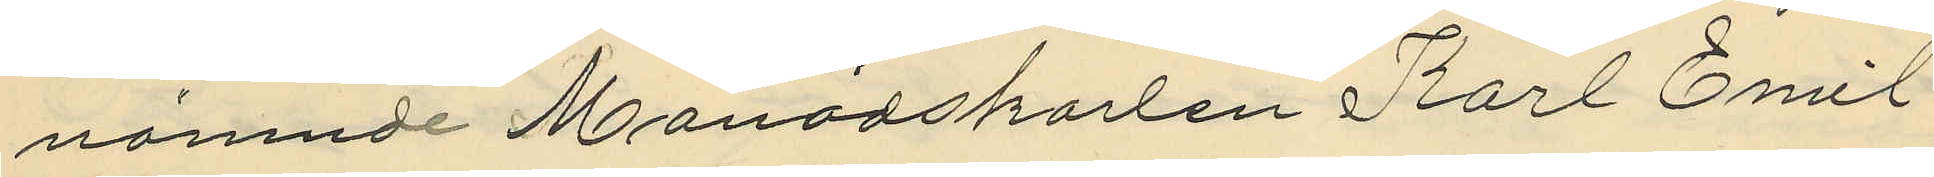nämnde Månadskarlen Karl Emil
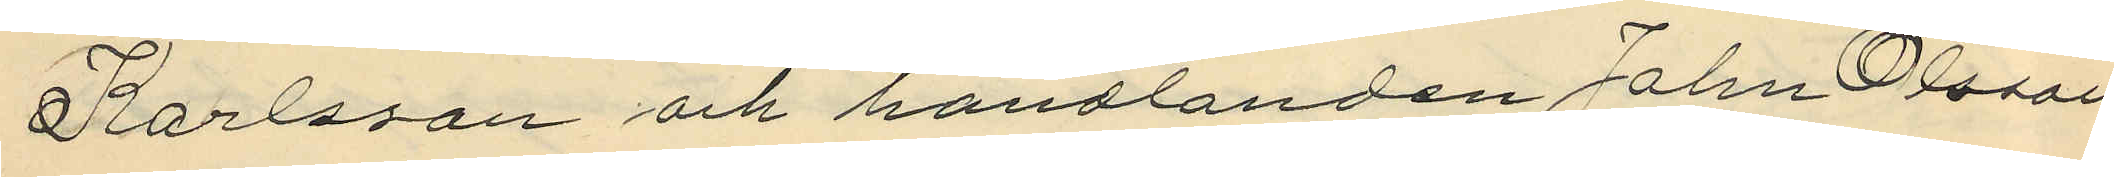Karlsson och handlanden John Olsson
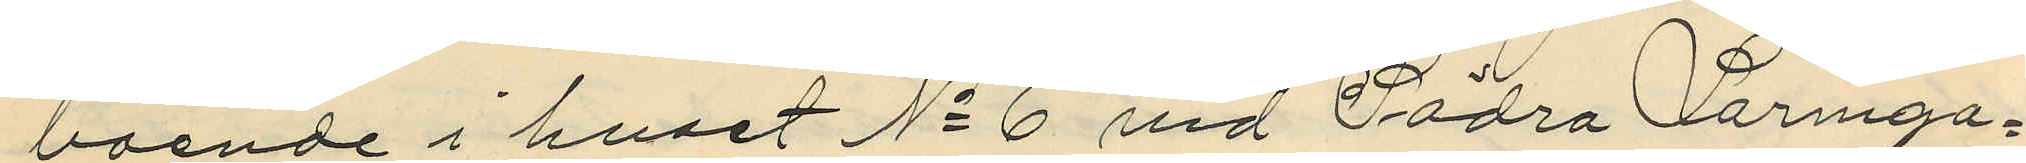boende i huset No 6 vid Södra Larmga¬
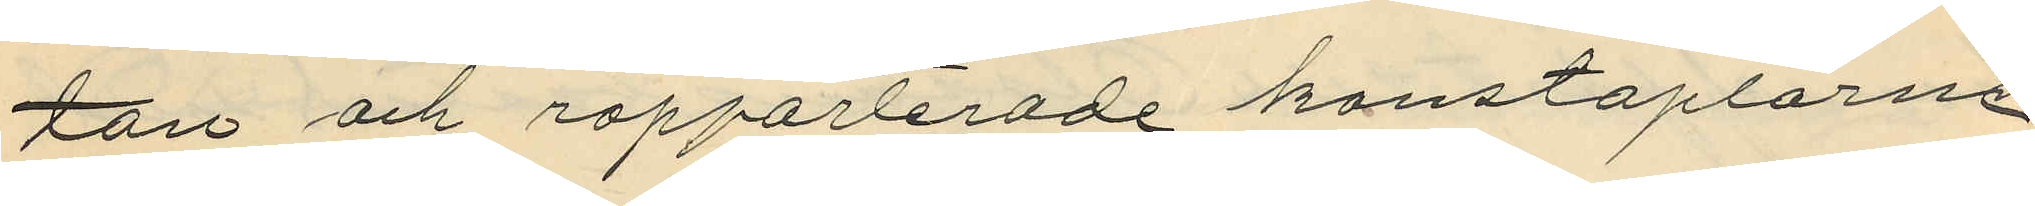tan och rapporterade konstaplarne
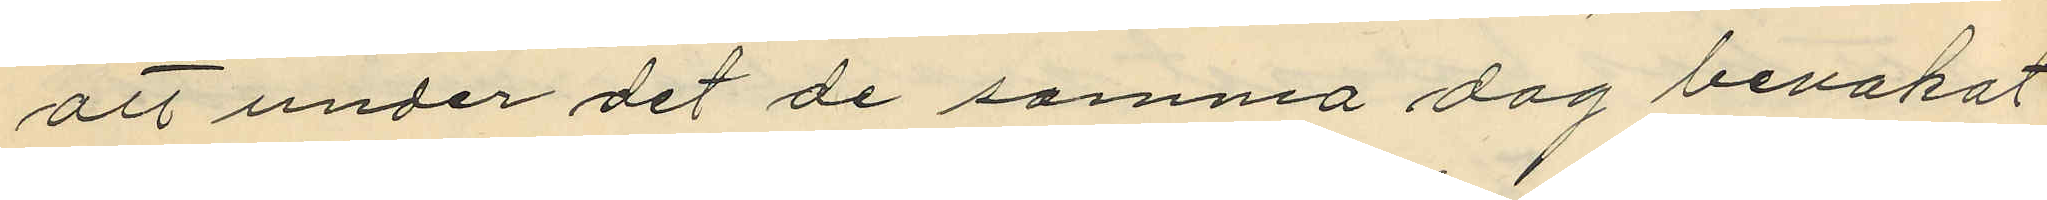att under det de samma dag bevakat
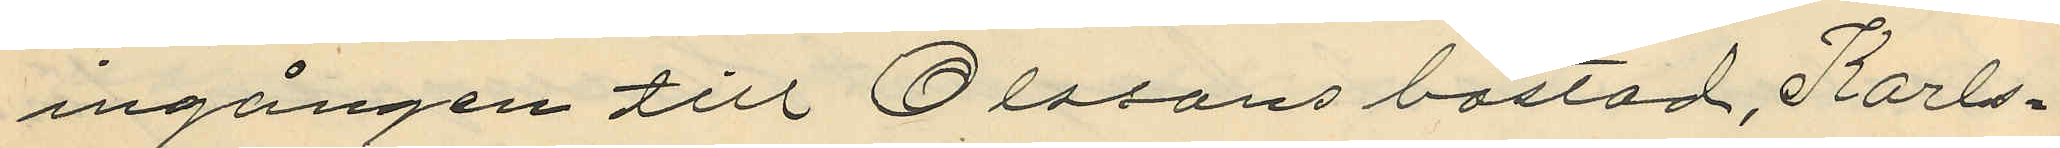ingången till Olssons bostad, Karls¬
